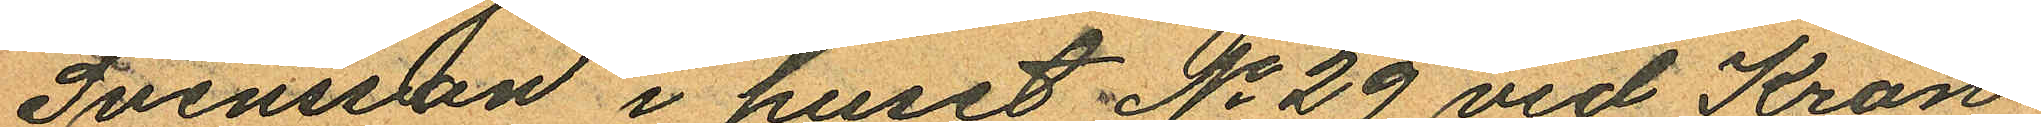Svenssson i huset No 29 vid Kron¬
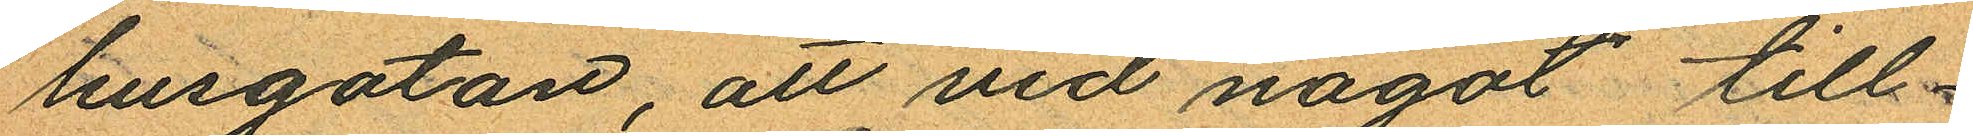husgatan, att vid något till¬
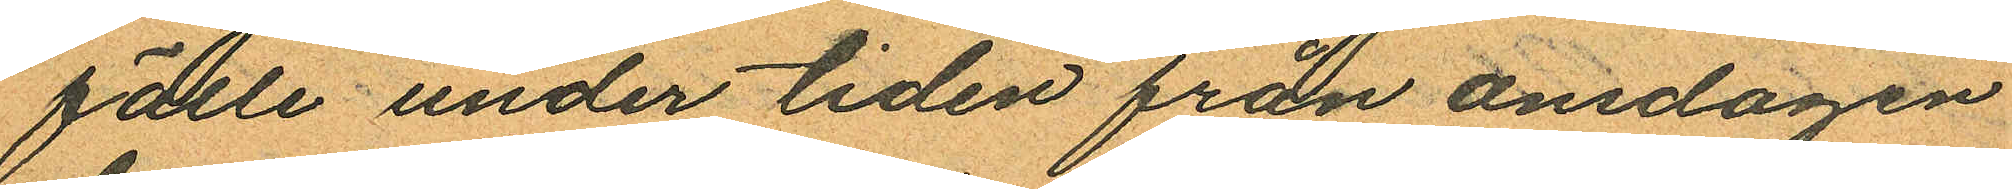fälle under tiden från onsdagen
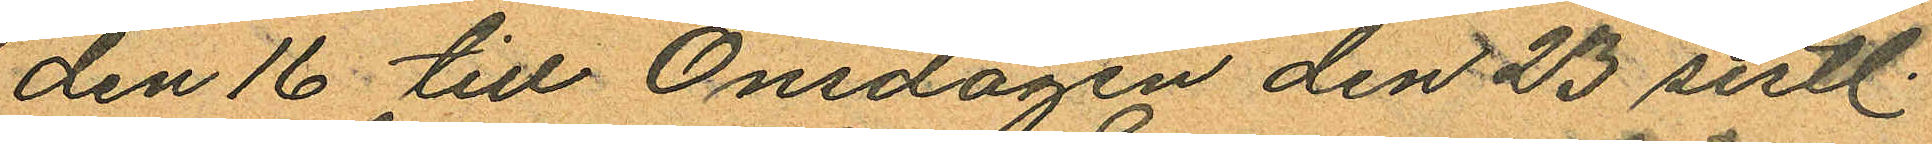den 16 till Onsdagen den 23 sistl.
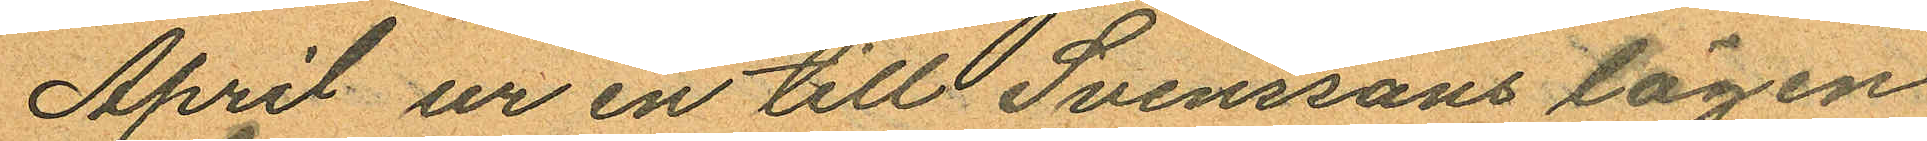April ur en till Svenssons lägen
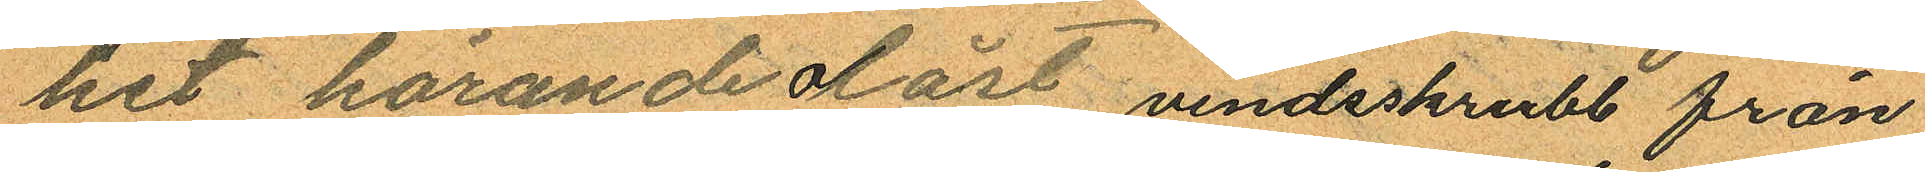het hörande olåst vindsskrubb från
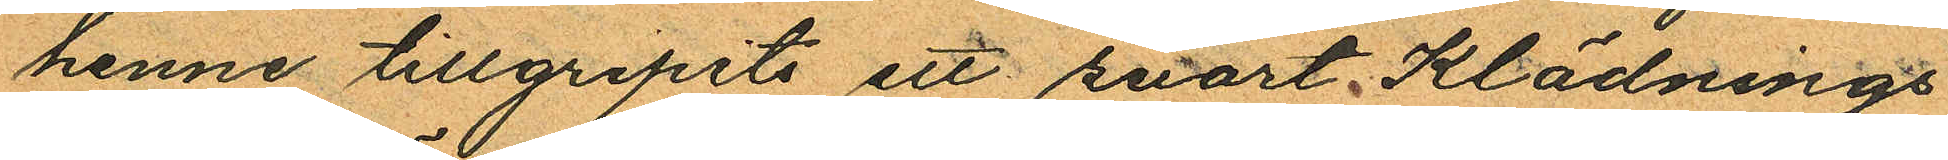henne tillgripits ett svart klädnings¬
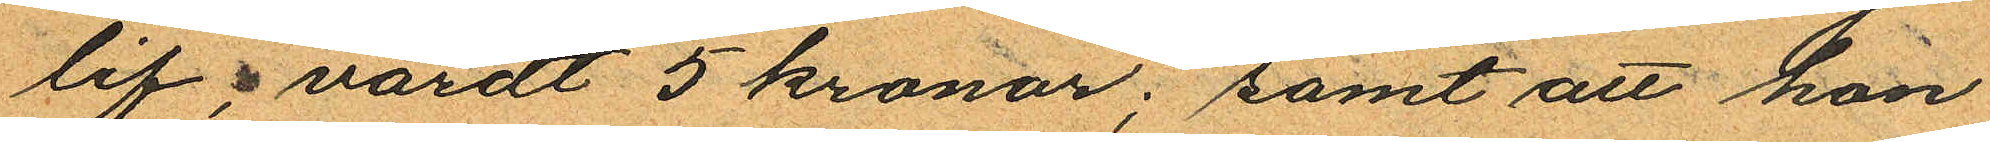lif, värdt 5 kronor; samt att hon
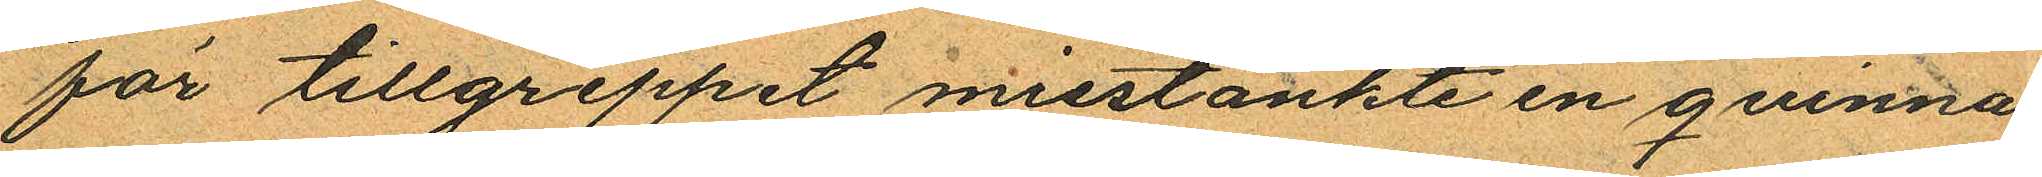för tillgreppet misstänkte en qvinna
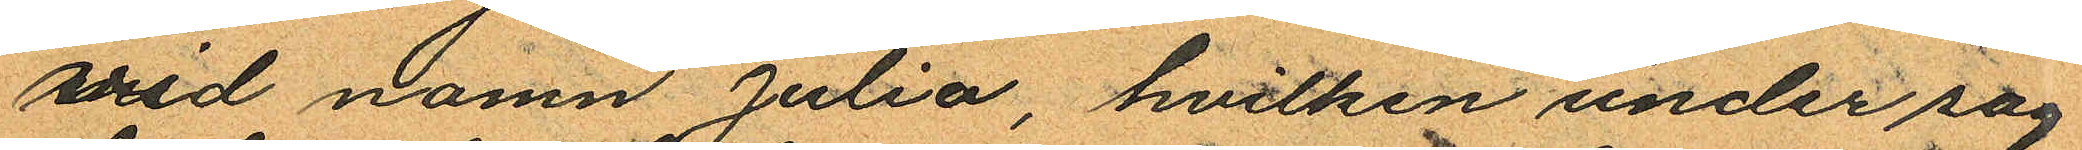vid namn Julia, hvilken under sag¬
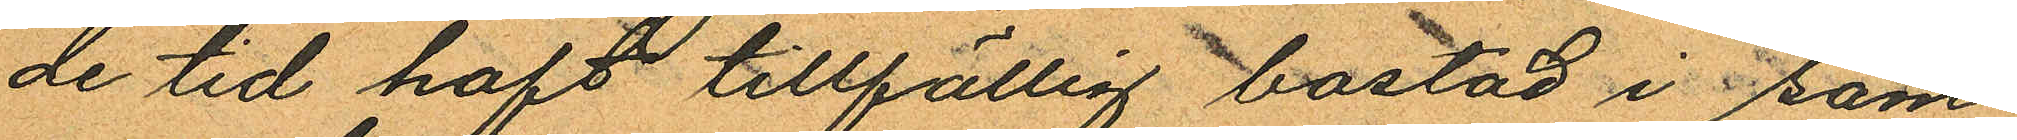de tid haft tillfällig bostad i sam¬
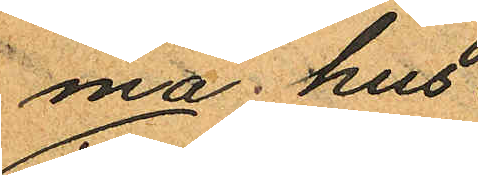ma hus.
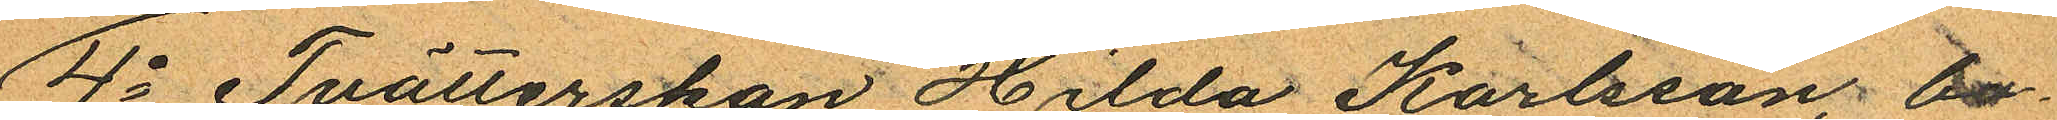4o Tvätterskan Hilda Karlsson, bo¬
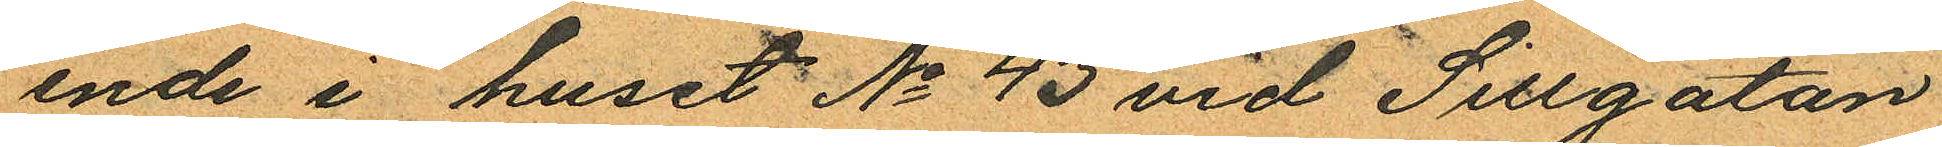ende i huset No 43 vid Sillgatan
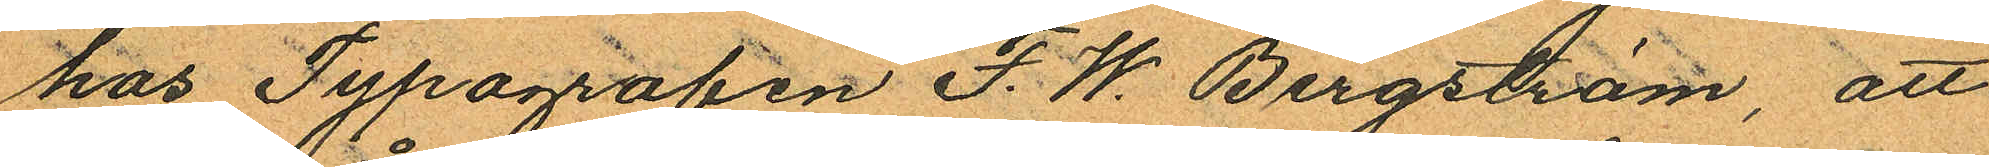hos Typografen F. W. Bergström, att
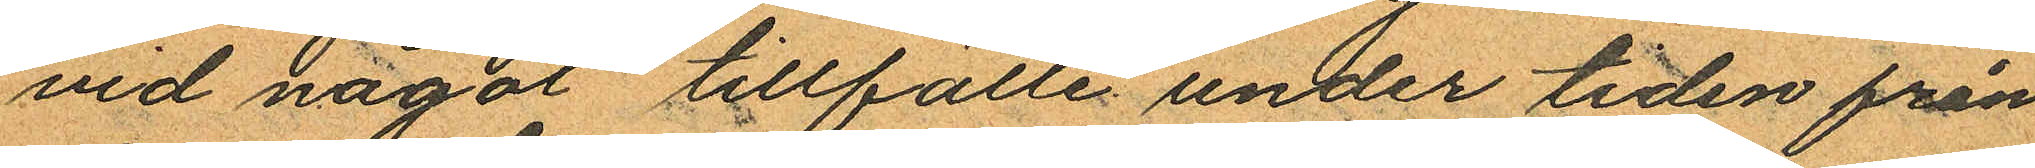vid något tillfälle under tiden från
